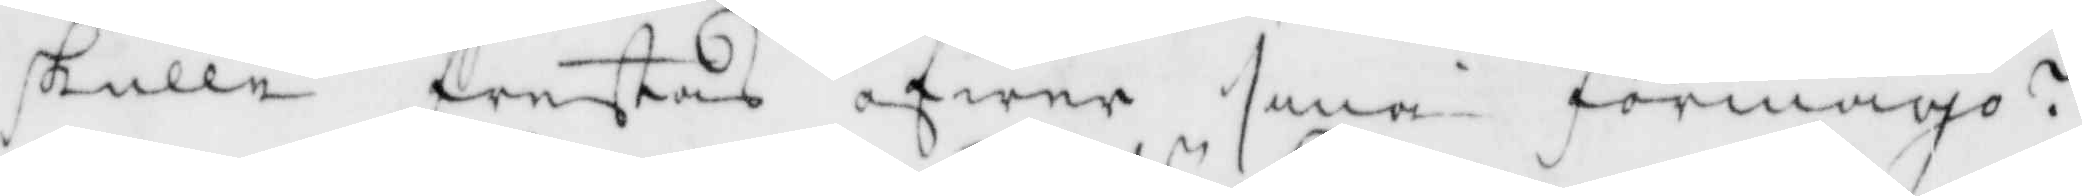skulle frestas öfwer sina förmågo?
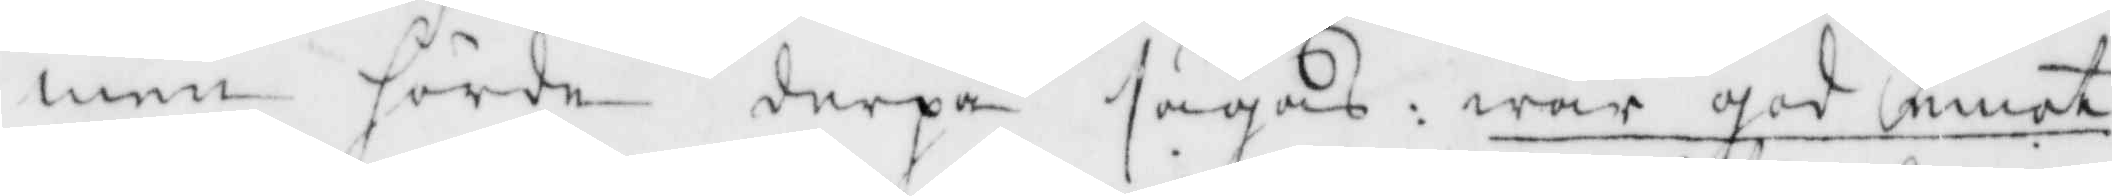men hörde derpå sägas: war god emot
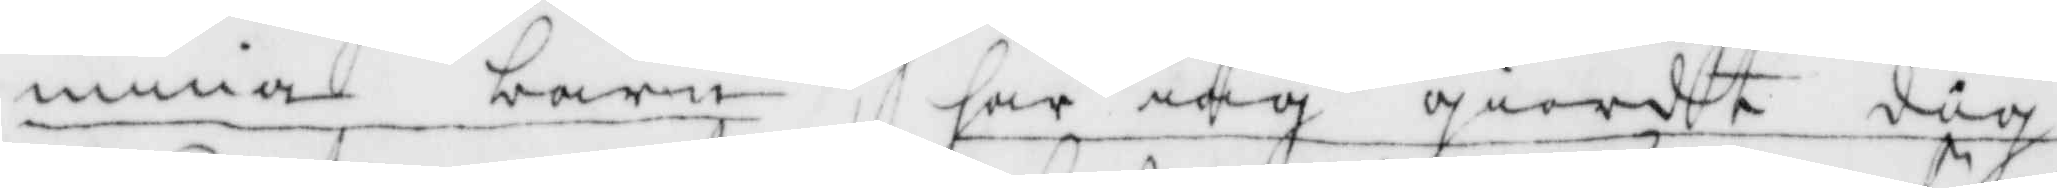mina barn, har iag giordt dig
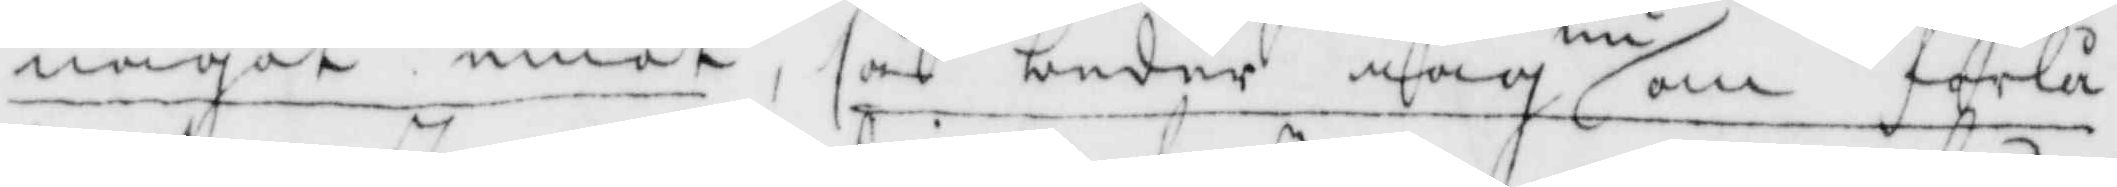något emot, så beder iag nu om förlå¬
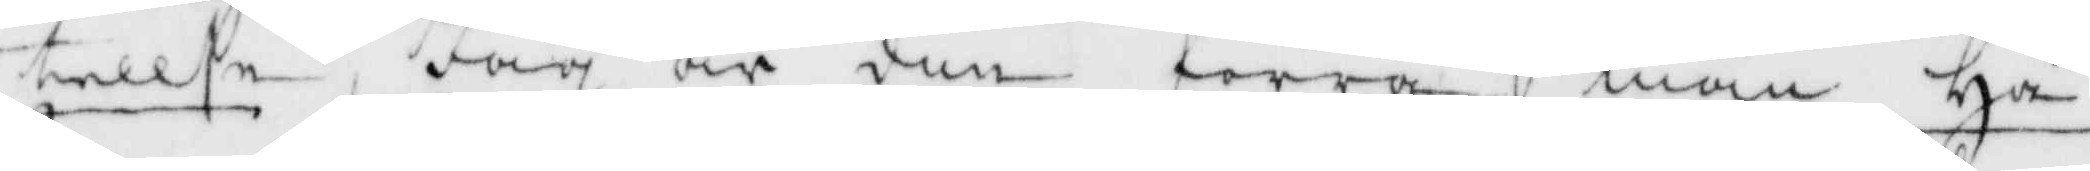tellse, Jag är din förra man Hå¬
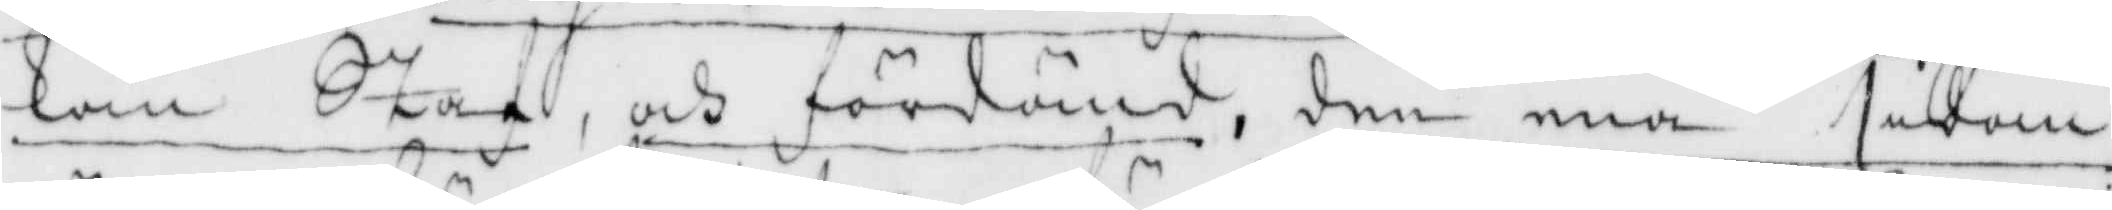kan Staf och fördömd, den ena sidan
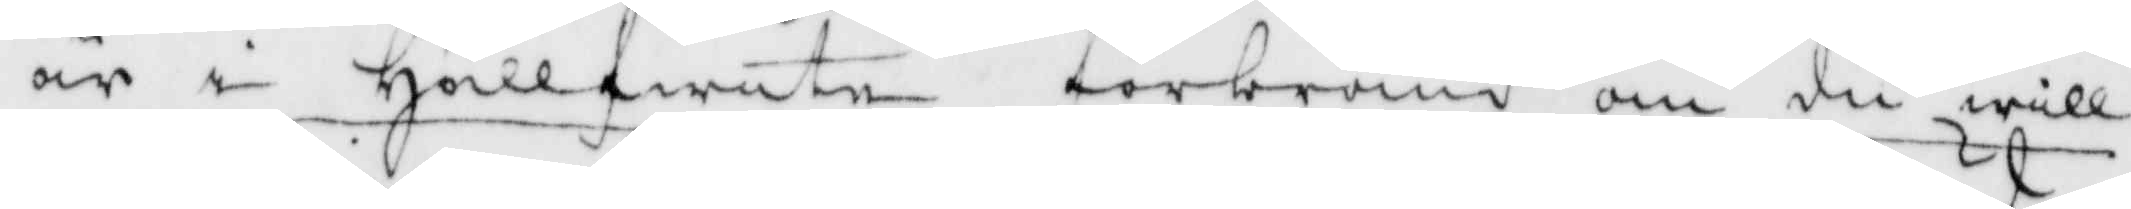är i Hällfwete förbränd om du will
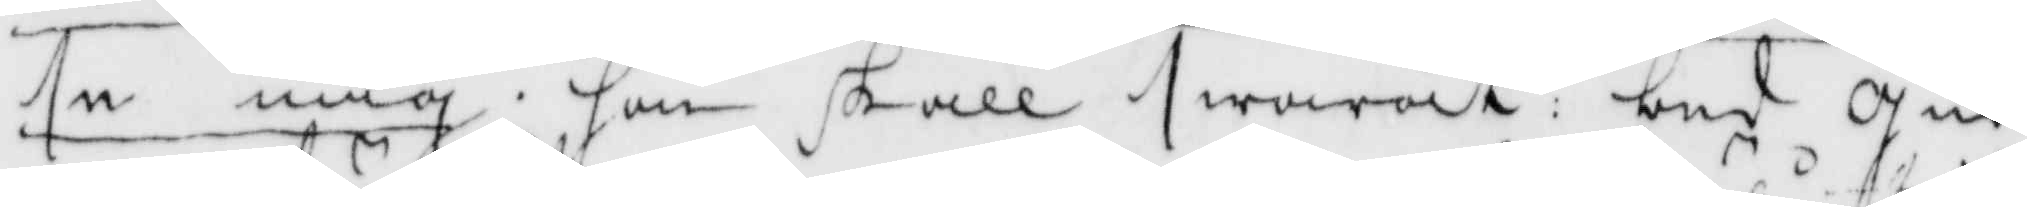se mig, hon skall swarat: bed gud
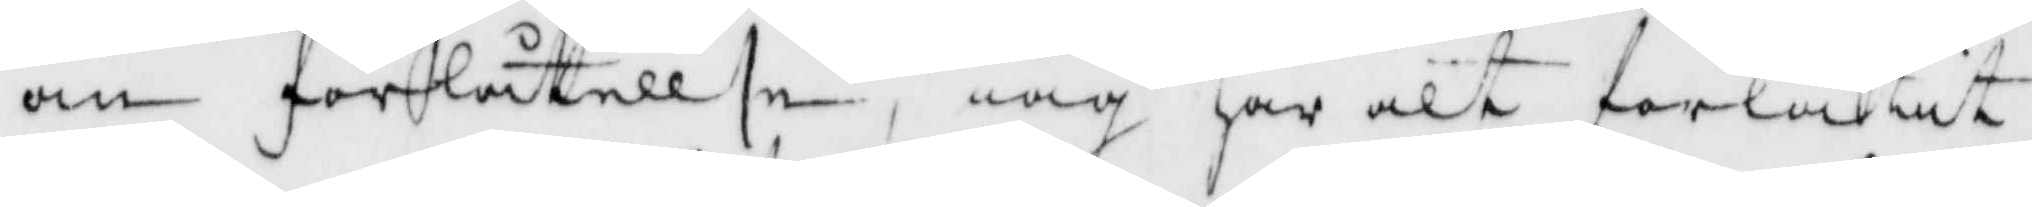om förlåtellse, iag har alt förlåtit
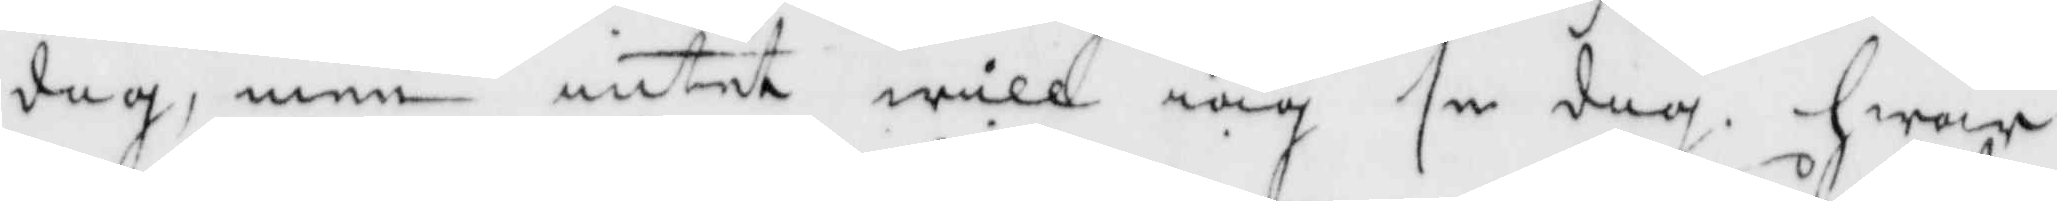dig, men intet will iag se dig, hwar
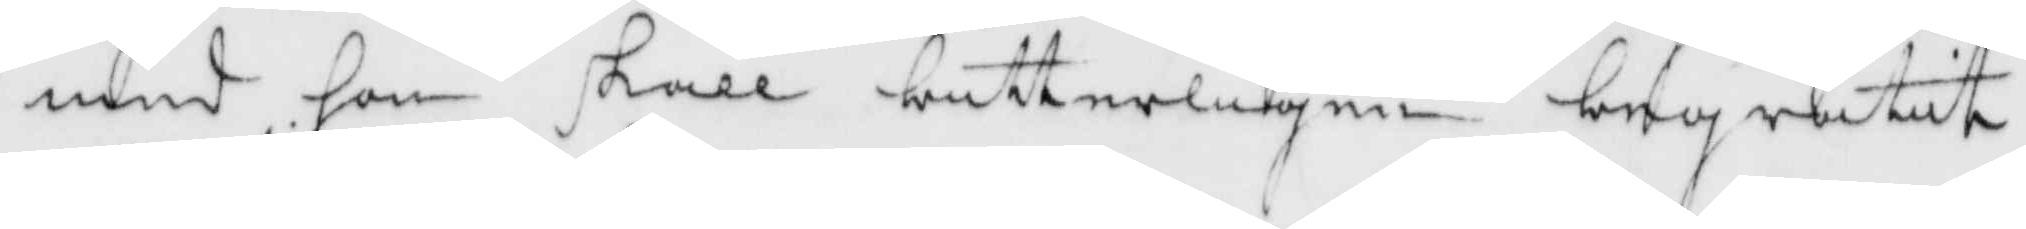med hon skall bitterligen begråtit
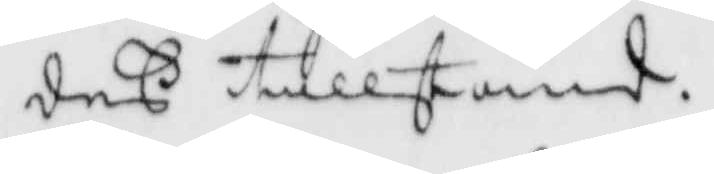deß tillstånd.
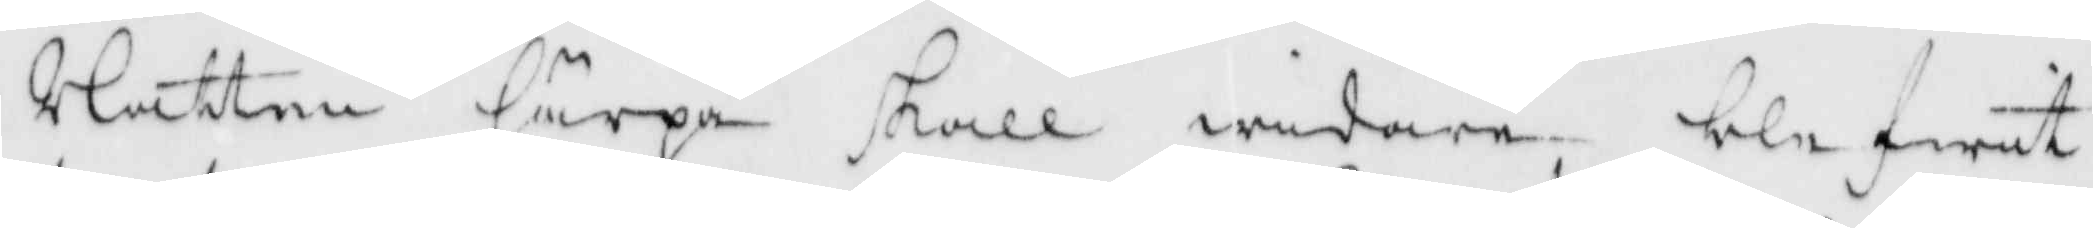Nätten härpå skall widare blefwit
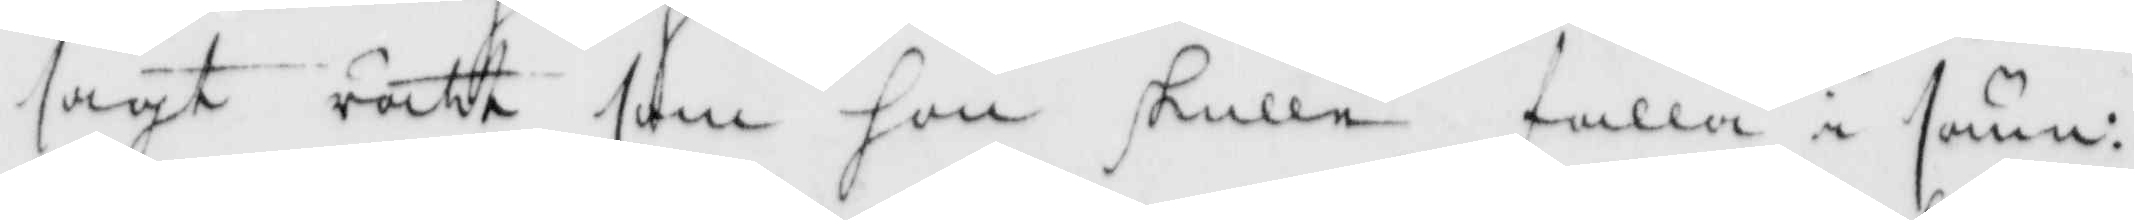sagt rätt som hon skulle falla i sömn:
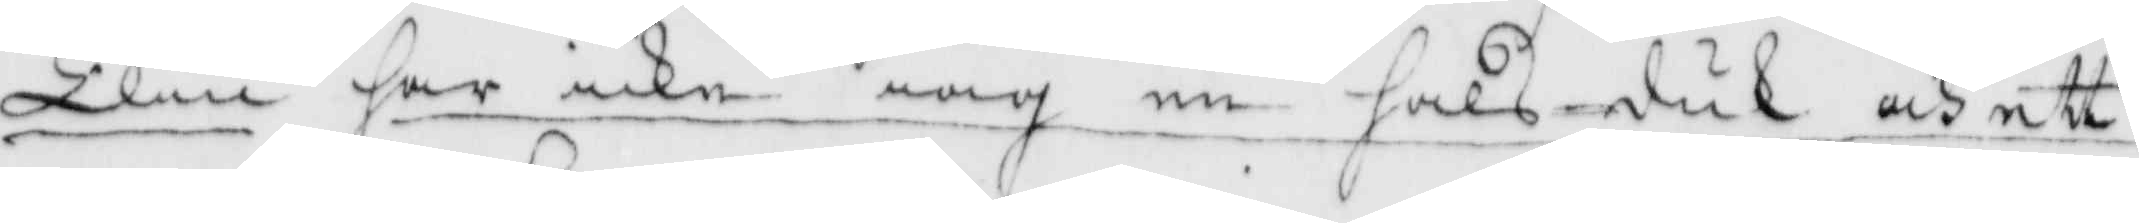Elin har icke iag nu halsduk och ett
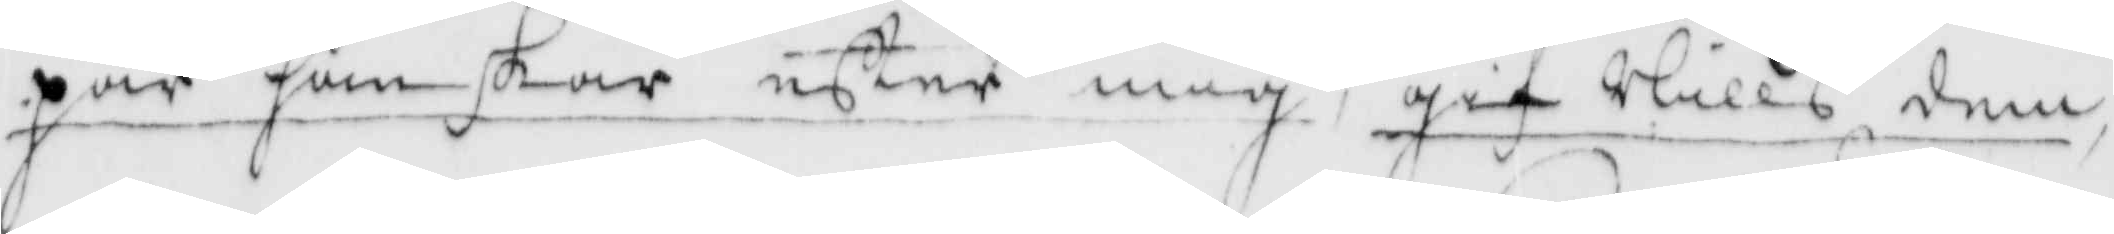par hanskar efter mig, gif Nills dem
